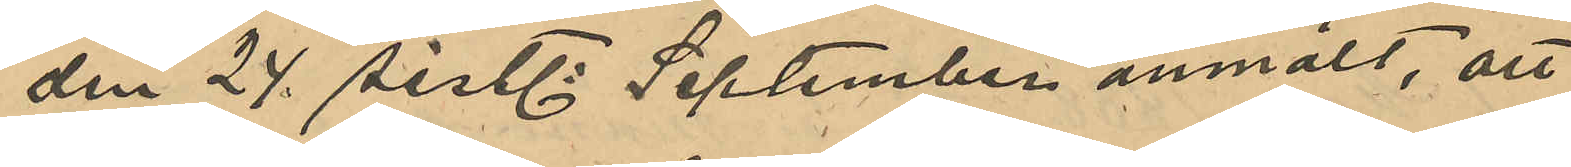den 24 sistl September anmält, att
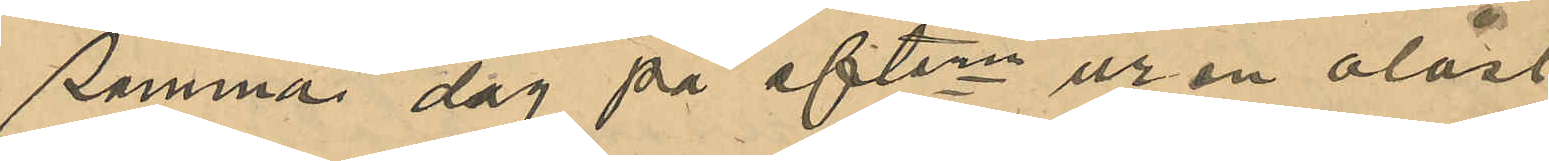samma dag på eftern ur en olåst
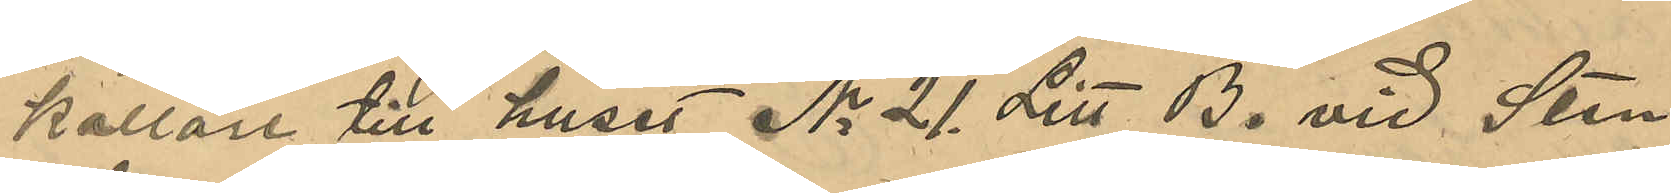källare till huset No 21 Litt. B vid Sten
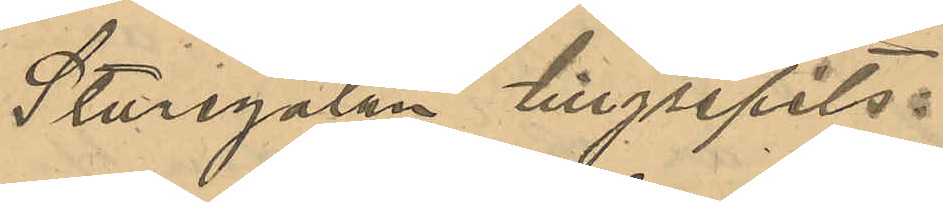Sturegatan tillgripits:
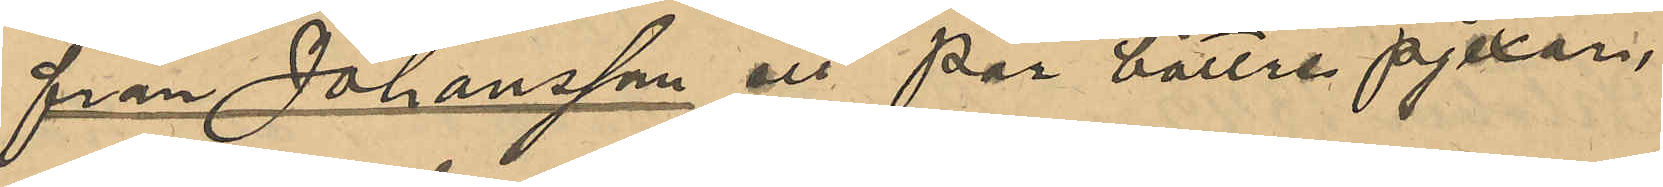från Johansson ett par bättre pjexor,
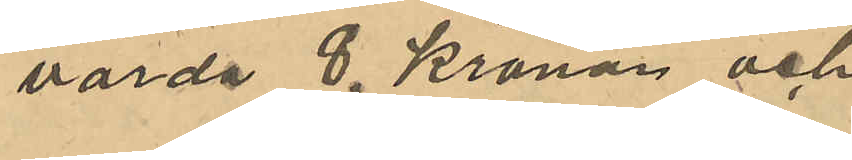värda 8 Kronor och
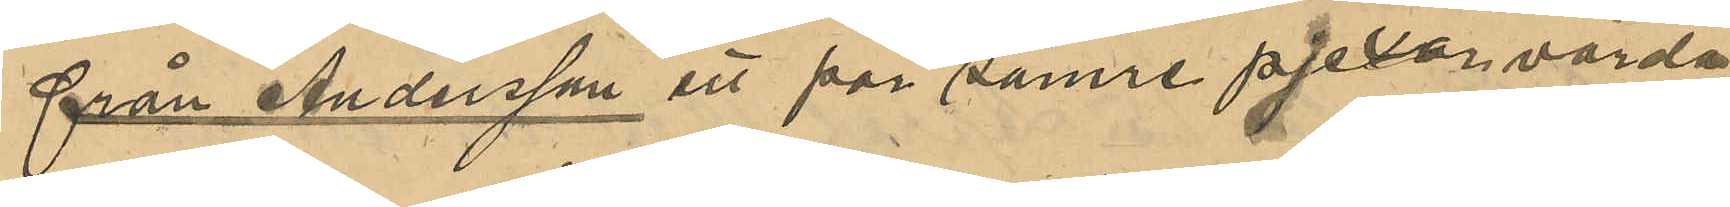från Andersson ett par sämre pjexor, värda
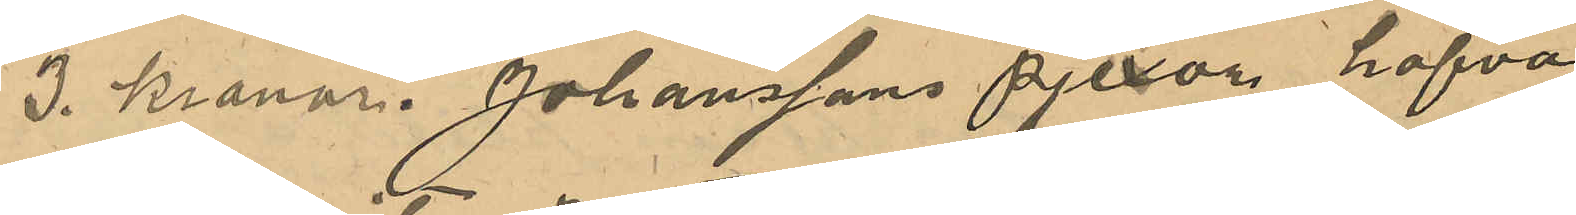3 Kronor. Johanssons pjexor hafva
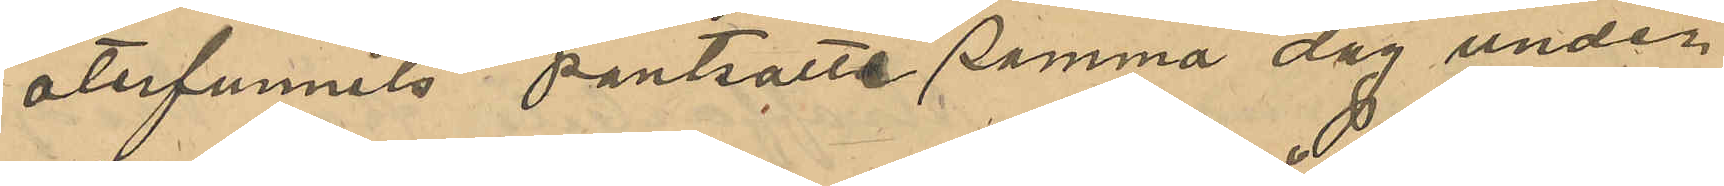återfunnits pantsatte samma dag under
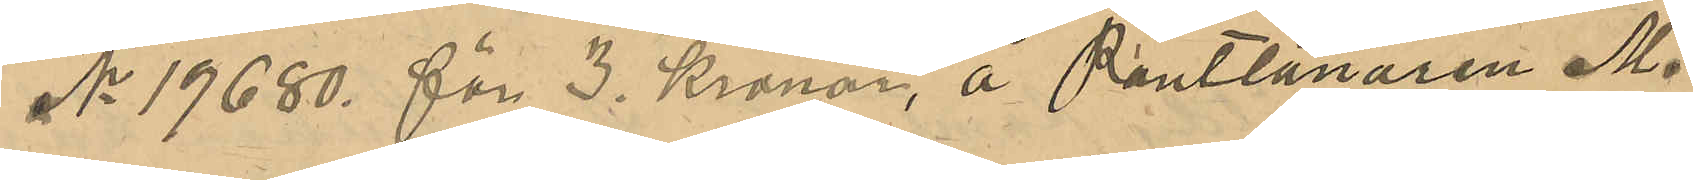No 19680 för 3 Kronor, å Pantlånaren M.
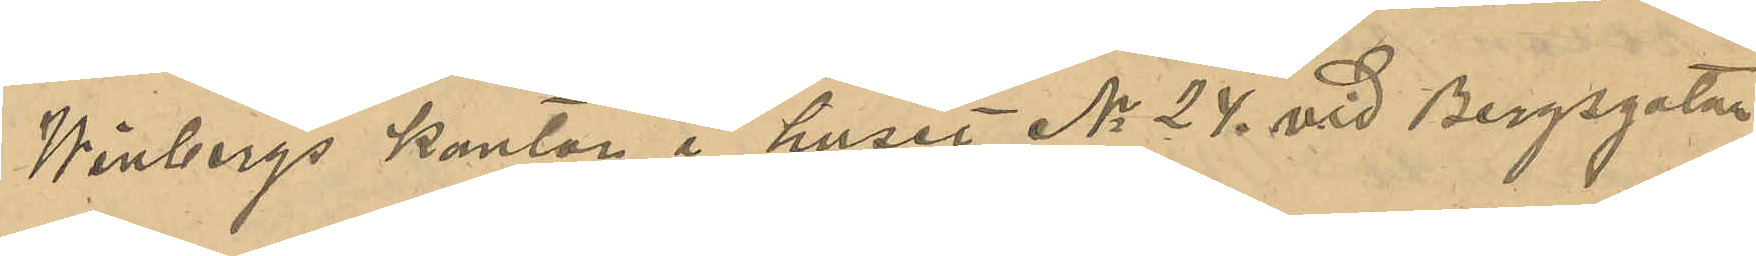Winbergs kontor i huset No 24 vid Bergsgatan
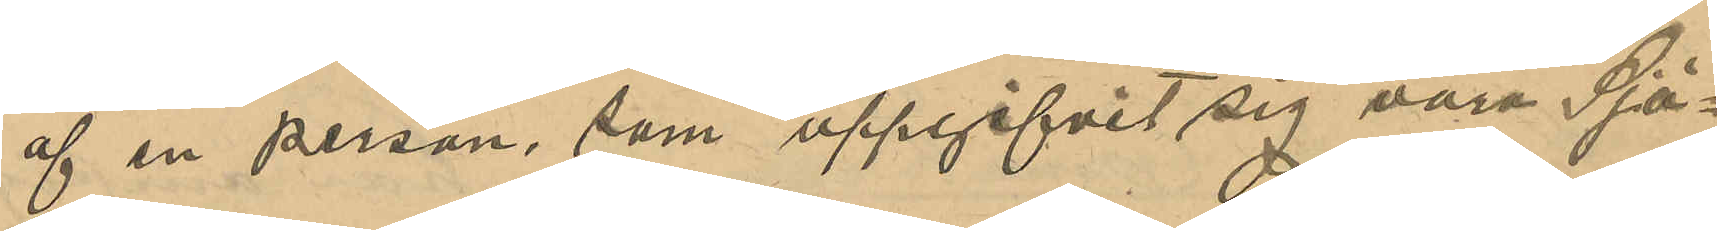af en person som uppgifvit sig vara Sjö¬
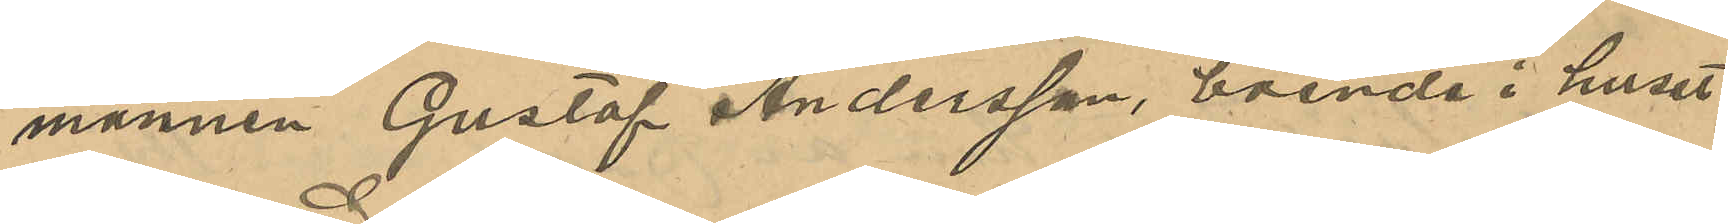mannen Gustaf Andersson, boende i huset
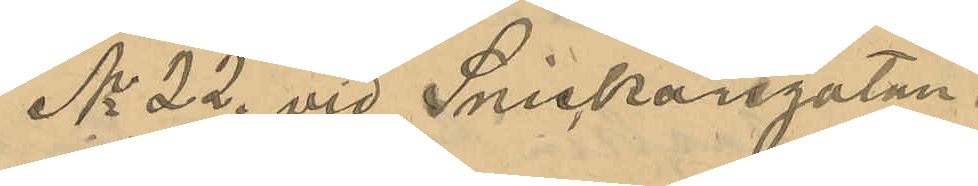No 22 vid Snickaregatan.
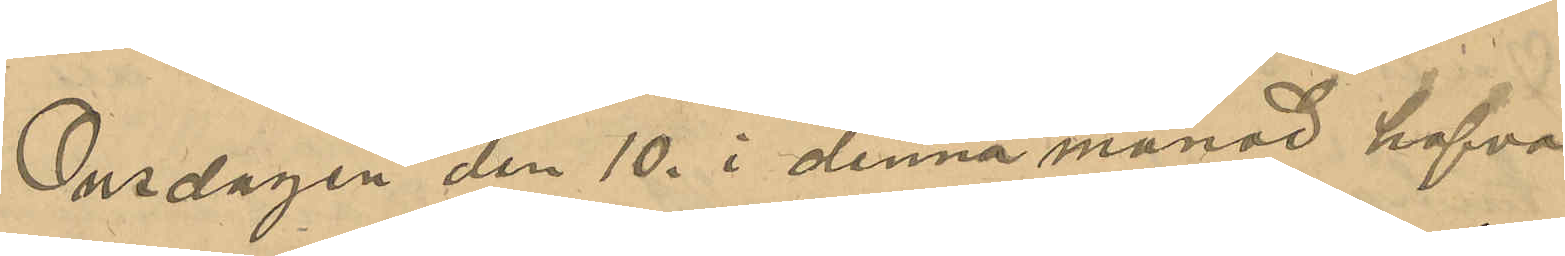Onsadagen den 10 i denna månad hafva
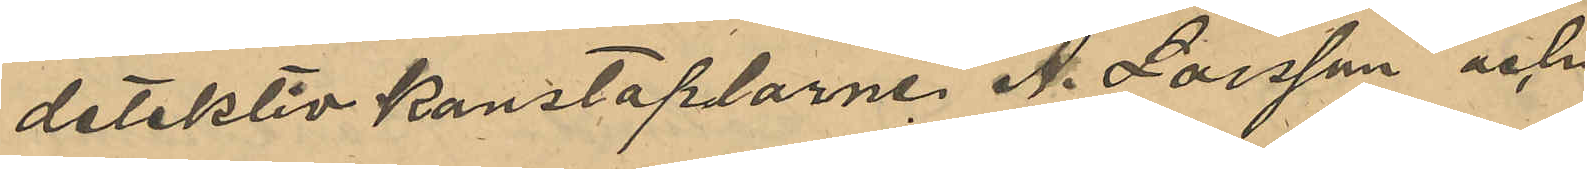detektivkonstaplarne A. Larsson och
